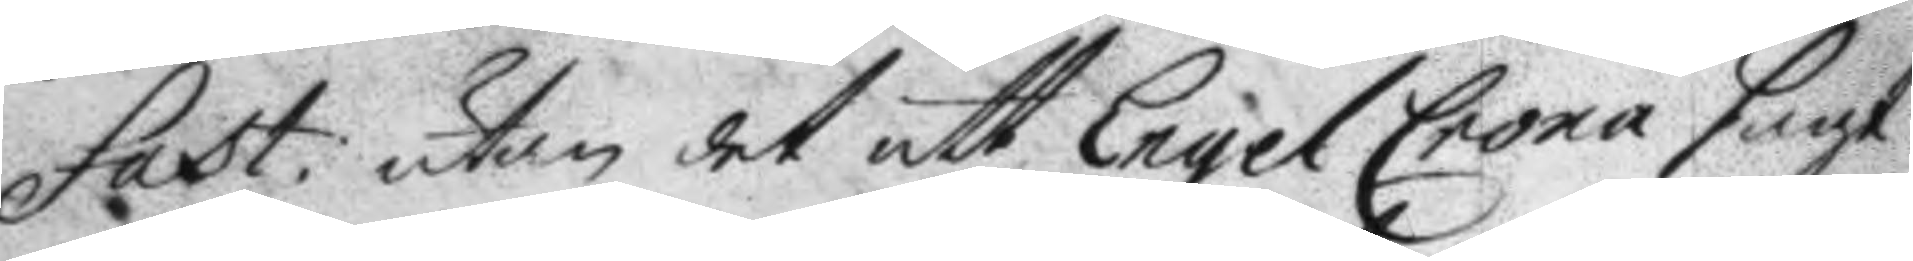Fast: utan det att EngelCrona sagt
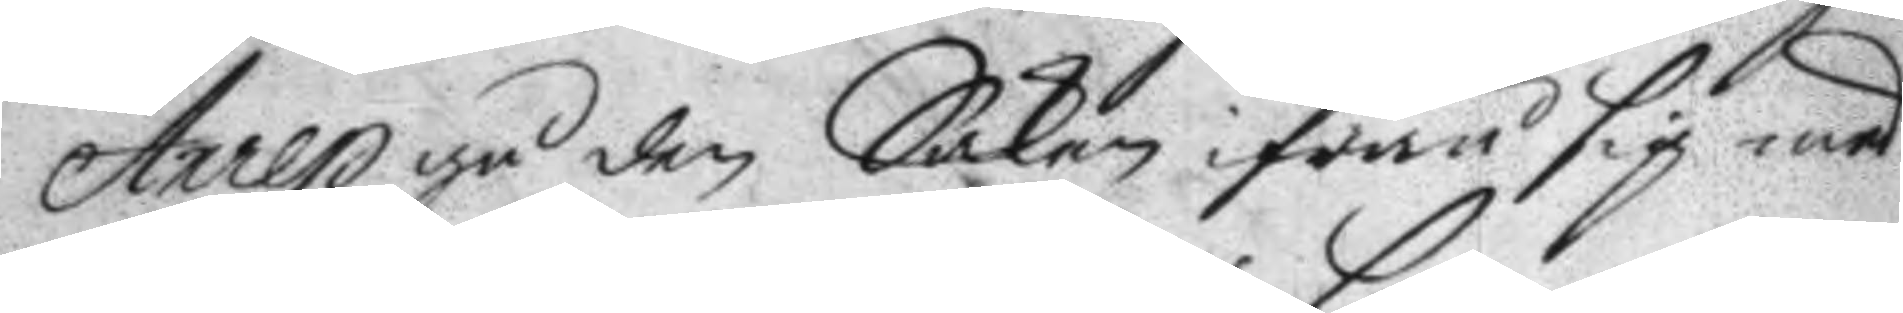Anrep på den Saken ifrån sig med
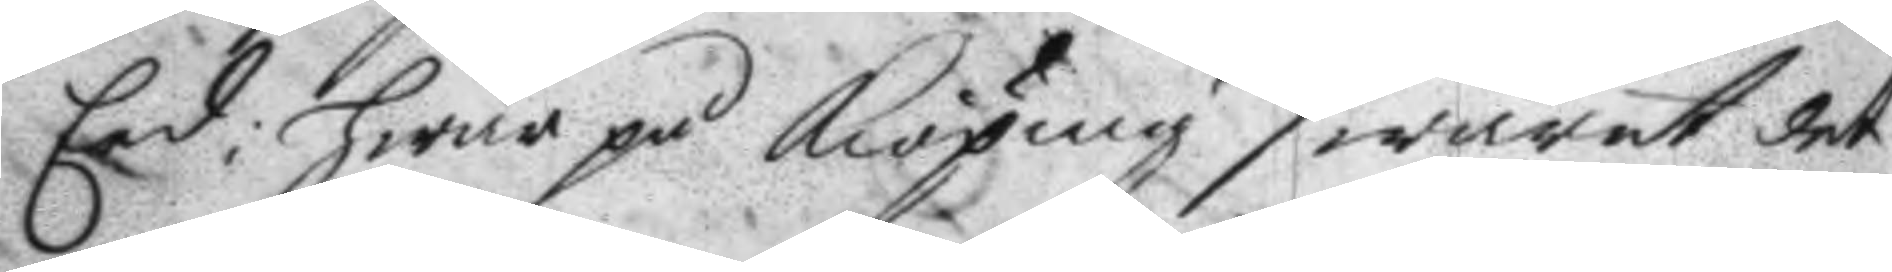Eed; hwar på Kiöping swarat det
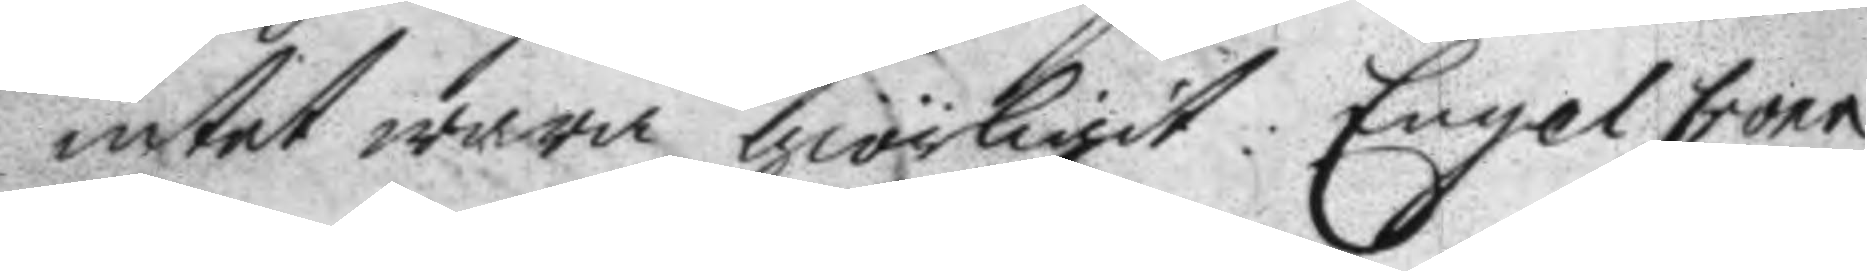intet wara giörligit: Engel Crona
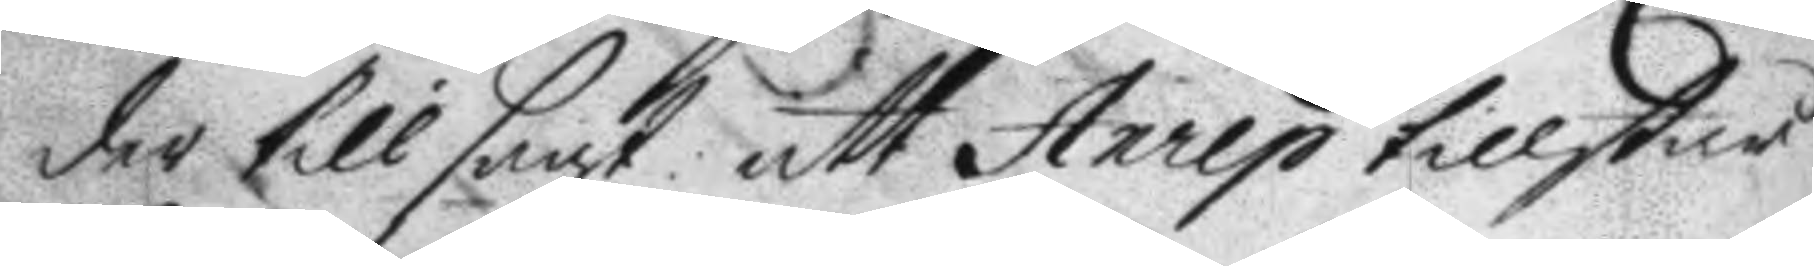der till sagt: att Anrep tillstår
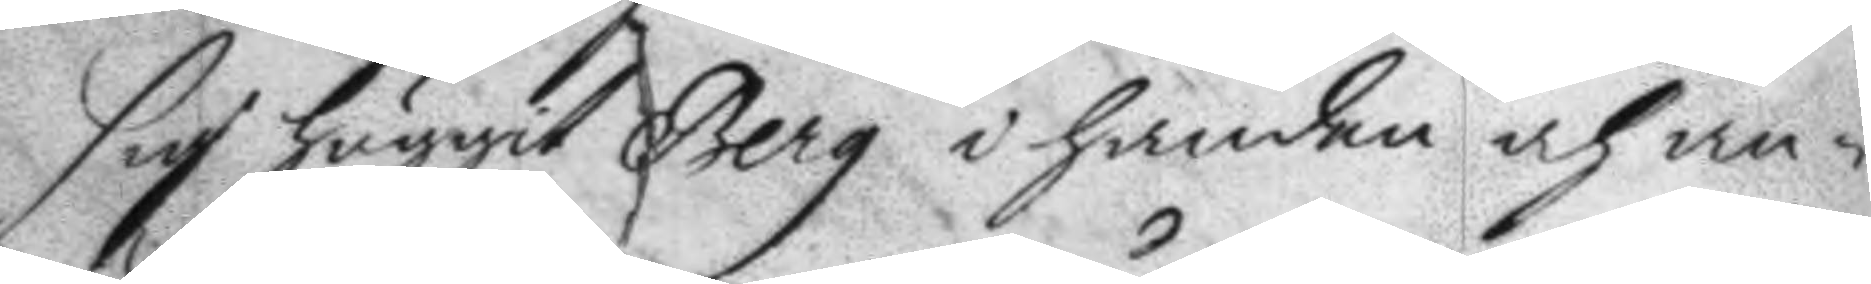sig huggit Berg i handen och an¬
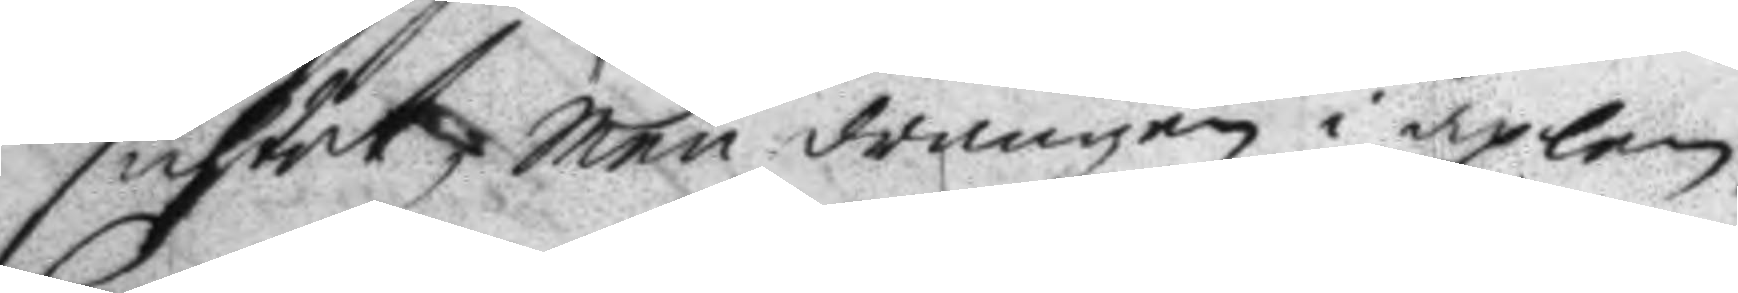sichtet, men drängen i axelen.
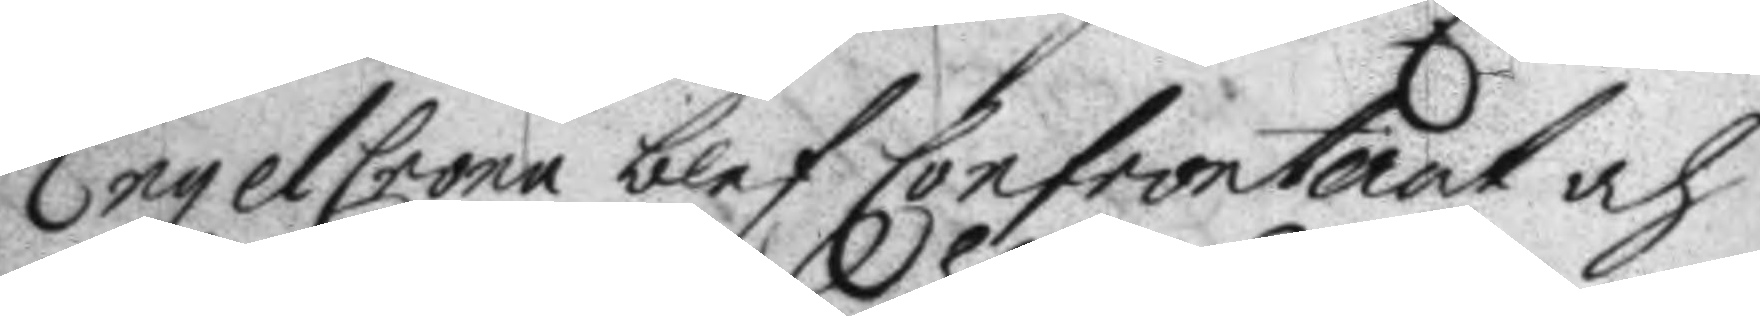EngelCrona blef Confronterat och
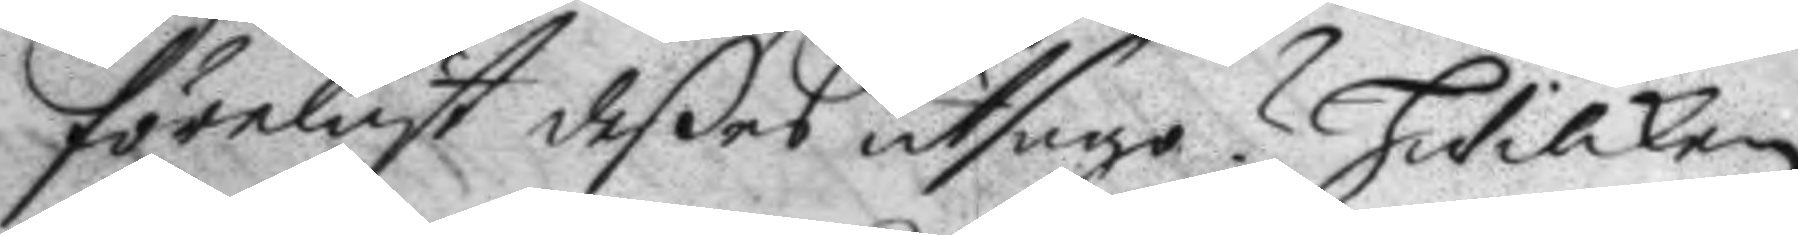föreläst deßed utsago? Hwilken
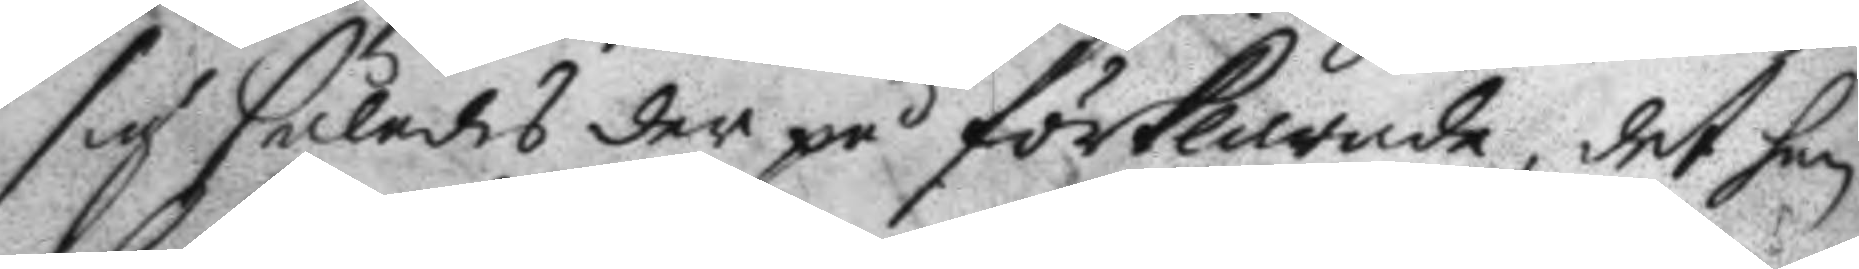sig således der på förklarade, det han
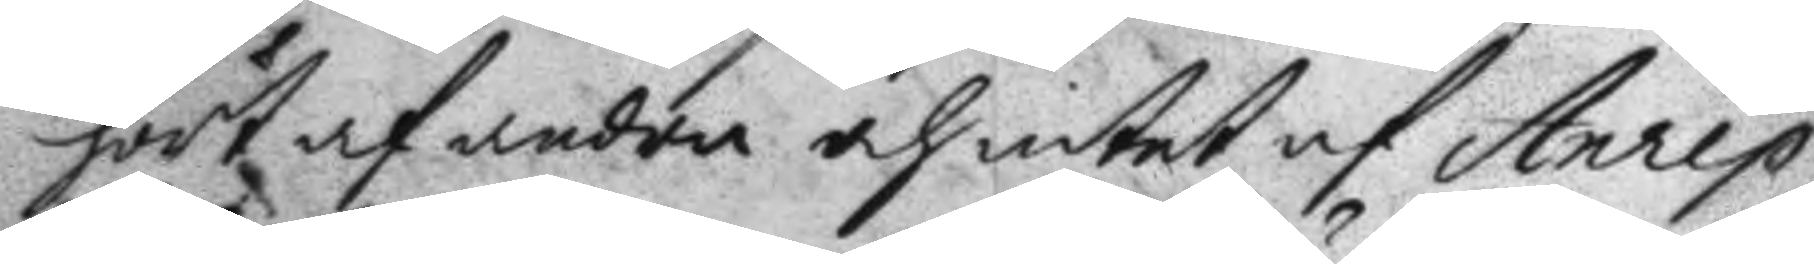hört af andra och intet af Anrep
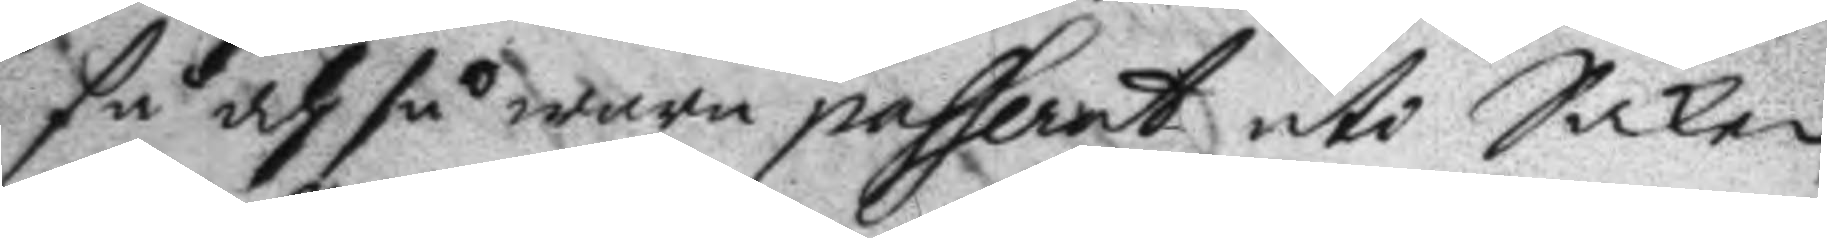så och så wara passerat uti Saken
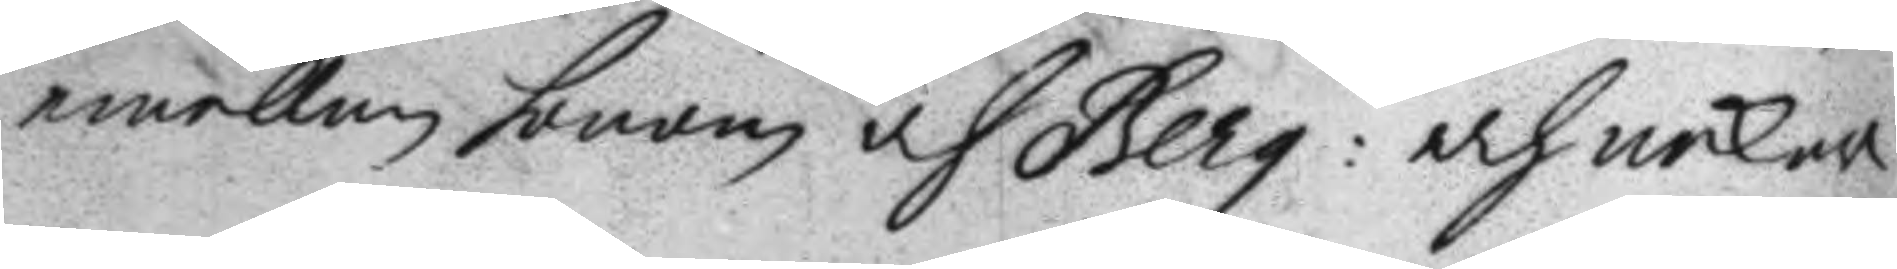emellan honom och berg: och nekar
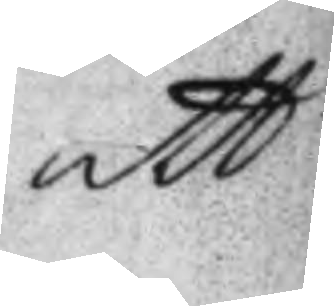att
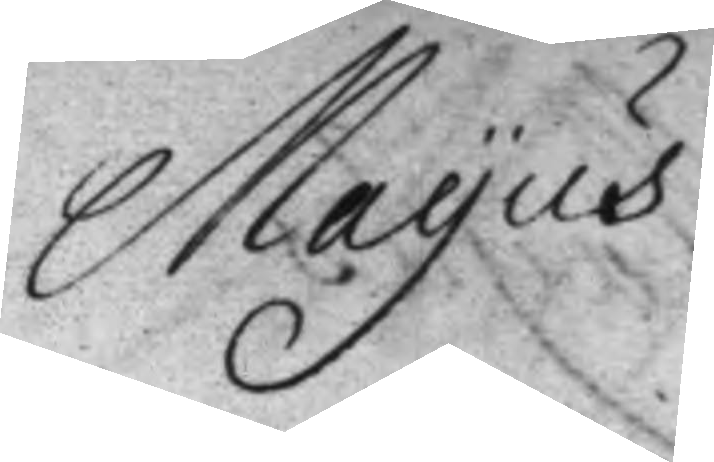Mayus
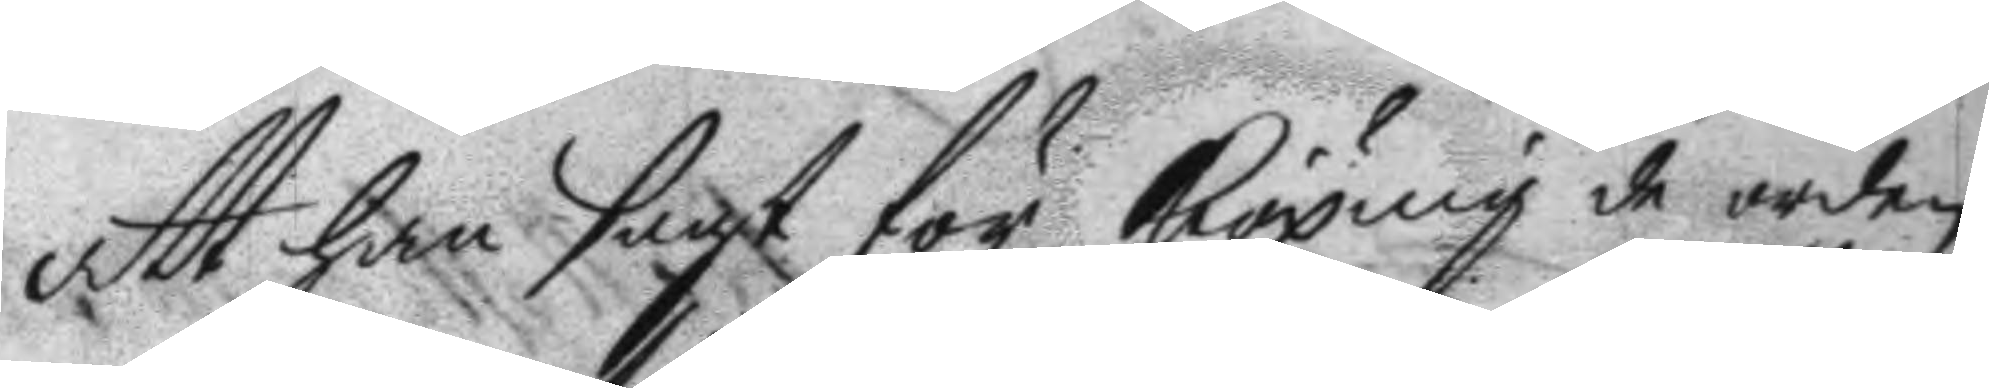att han sagt för Kiöping de orden
